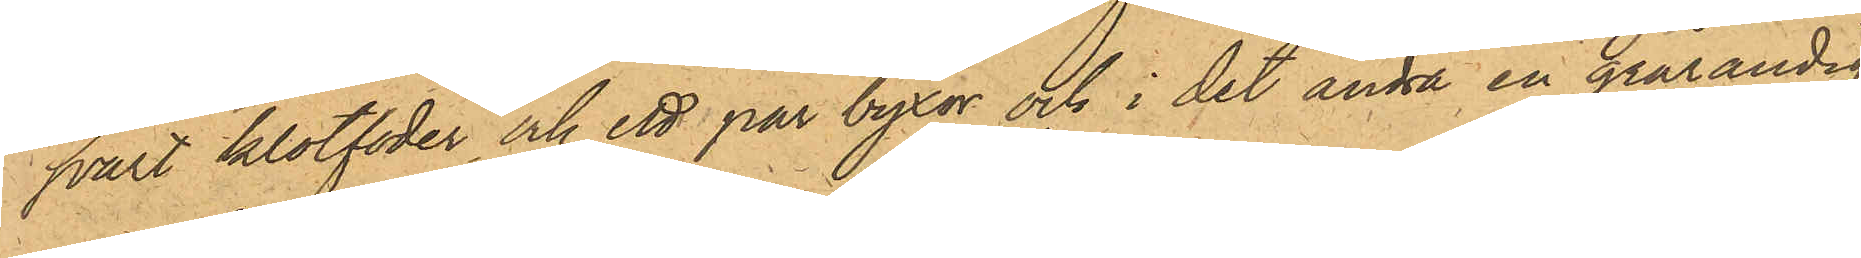svart klotfoder och ett par byxor och i det andra en grårandig
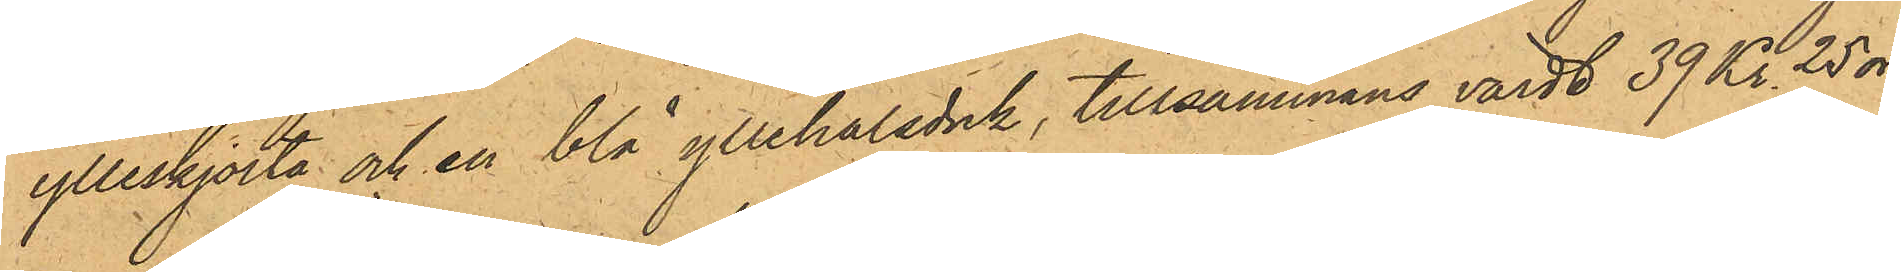ylleskjorta och en blå yllehalsduk, tillsammans värdt 39 Kr. 25 öre
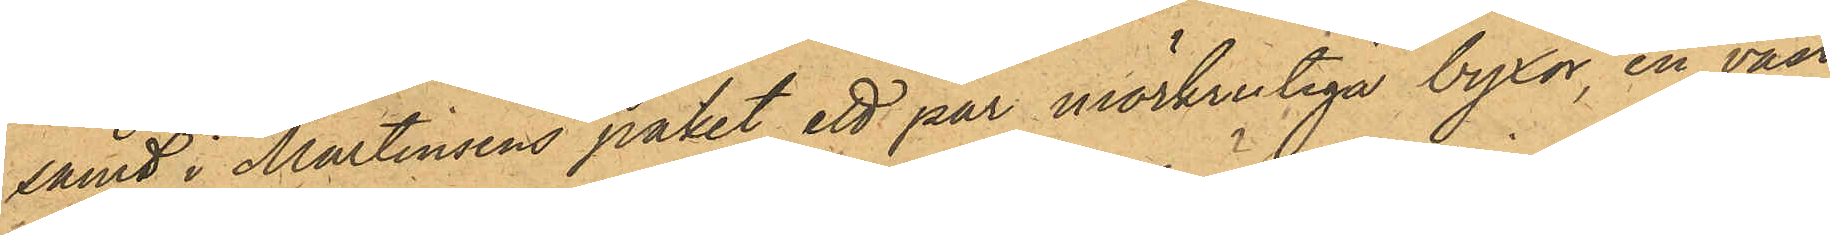samt i Martinsens paket ett par mörkrutiga byxor, en väst
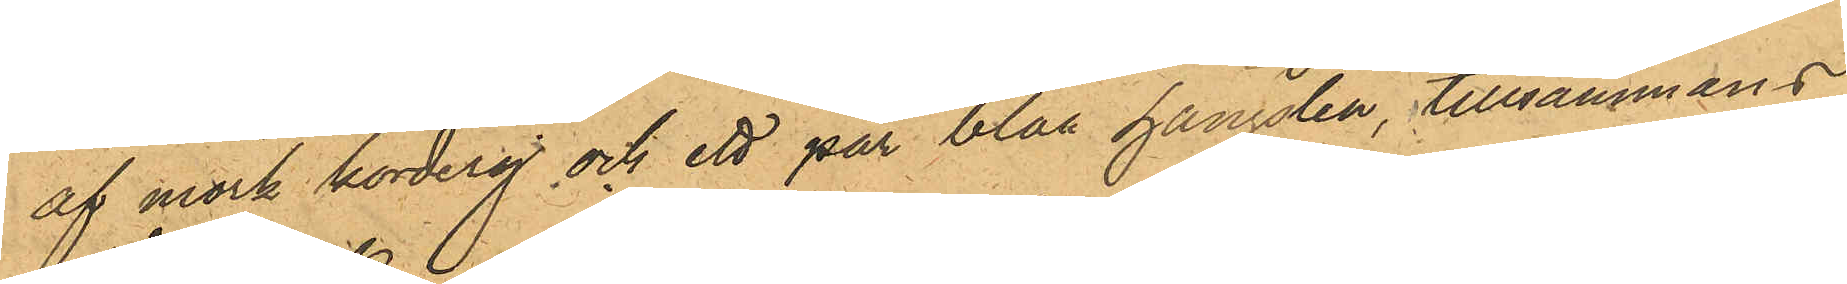af mörk korderoj och ett par blåa hängslen, tillsammans
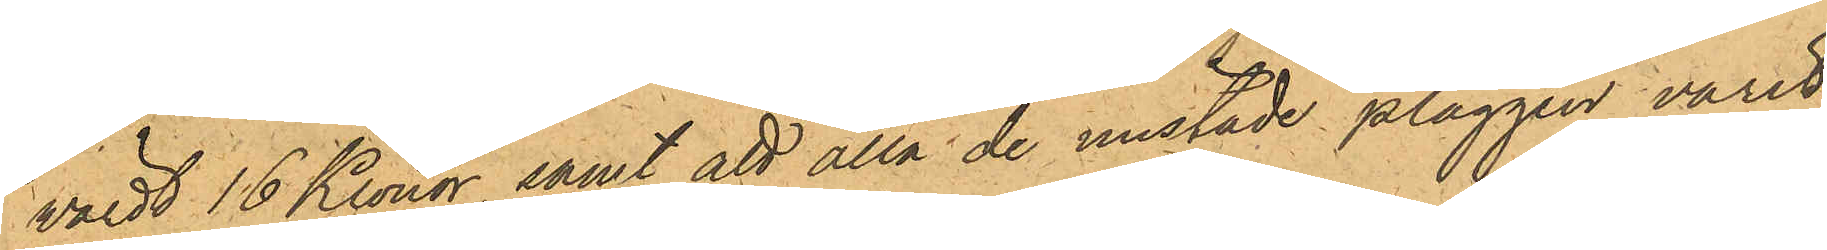värdt 16 Kronor, samt att alla de mistade plaggen varit
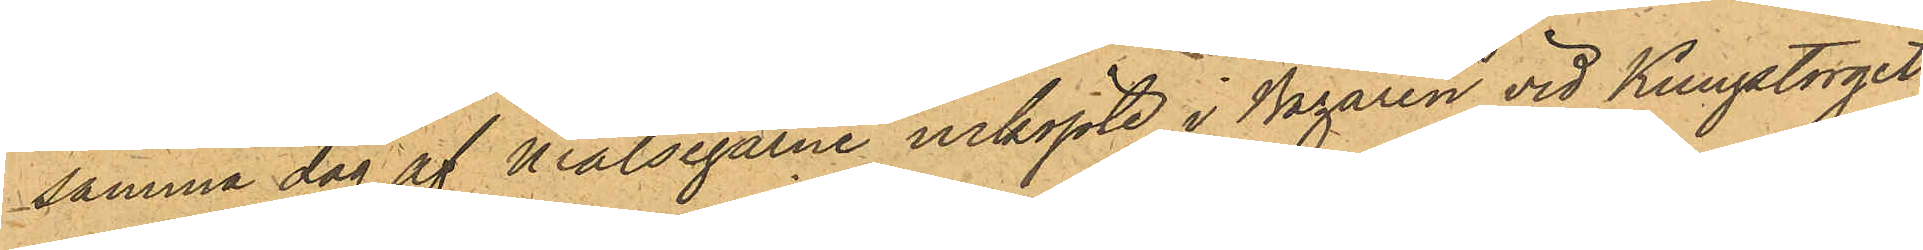samma dag af Målsegarne inköpte i Bazaren vid Kungstorget.
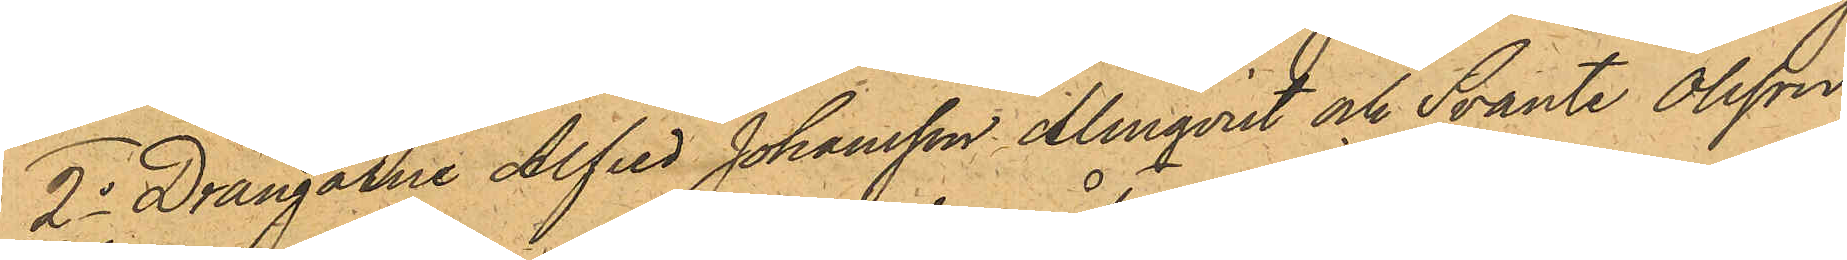2o Drängarne Alfred Johansson Almqvist och Svante Olsson,
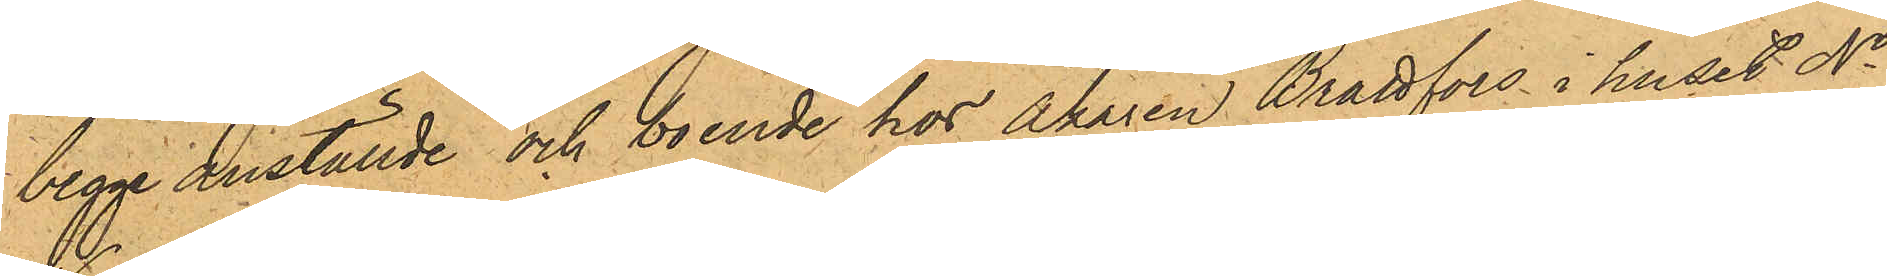begge anställde och boende hos Åkaren Brattfors i huset No
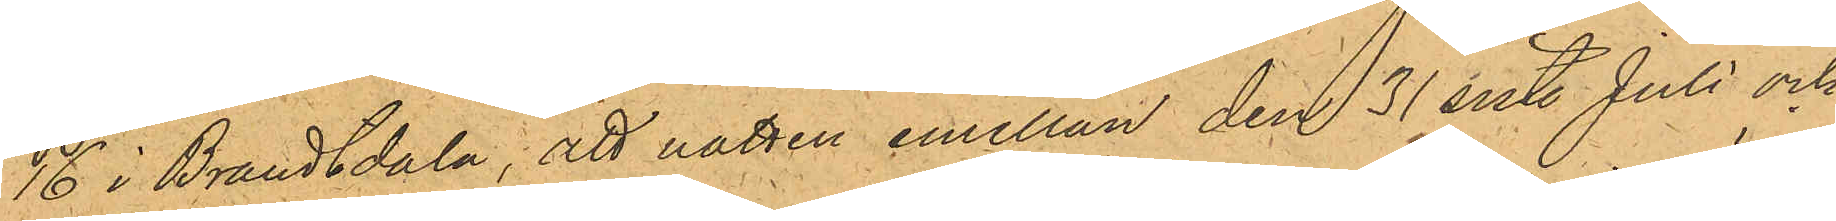16 i Brandtdala; att natten emellan den 31 sist. Juli och
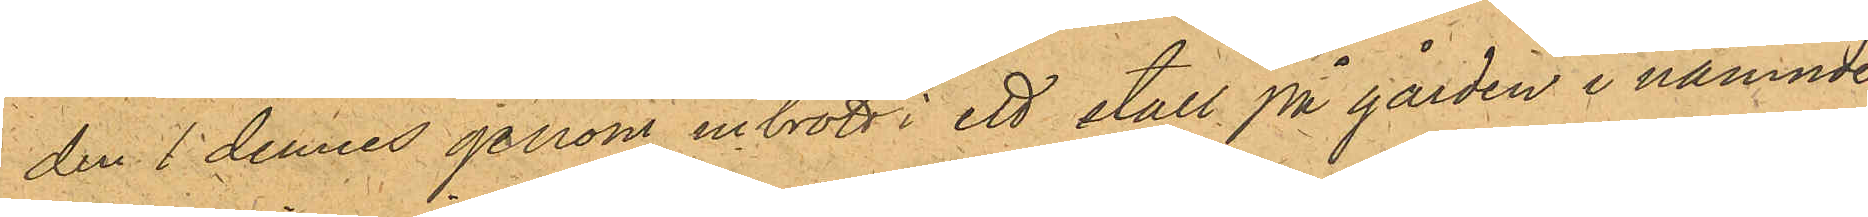den 1 dennes genom inbrott i ett stall på gården i nämnde
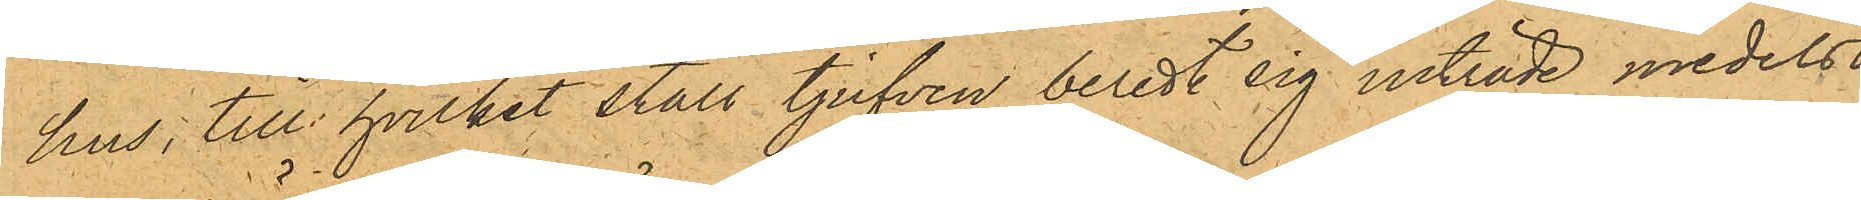hus, till hvilket stall tjufven beredt sig inträde medelst
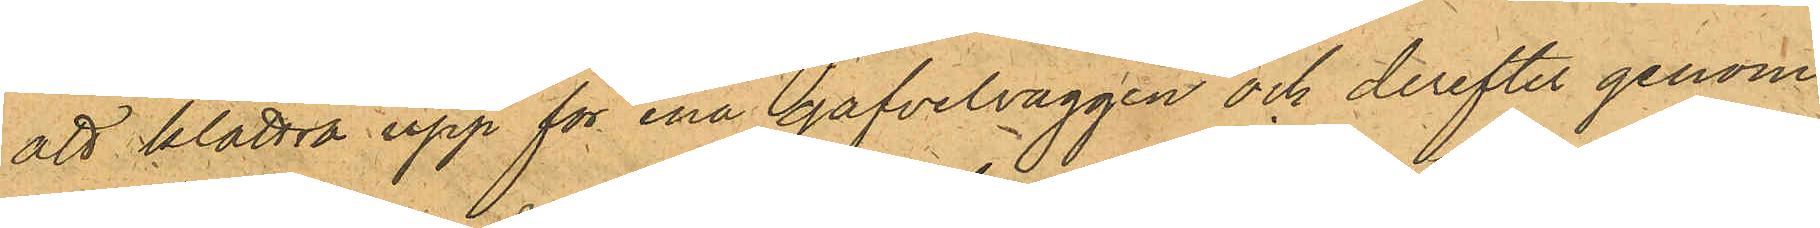att klättra upp för ena gafvelväggen och derefter genom
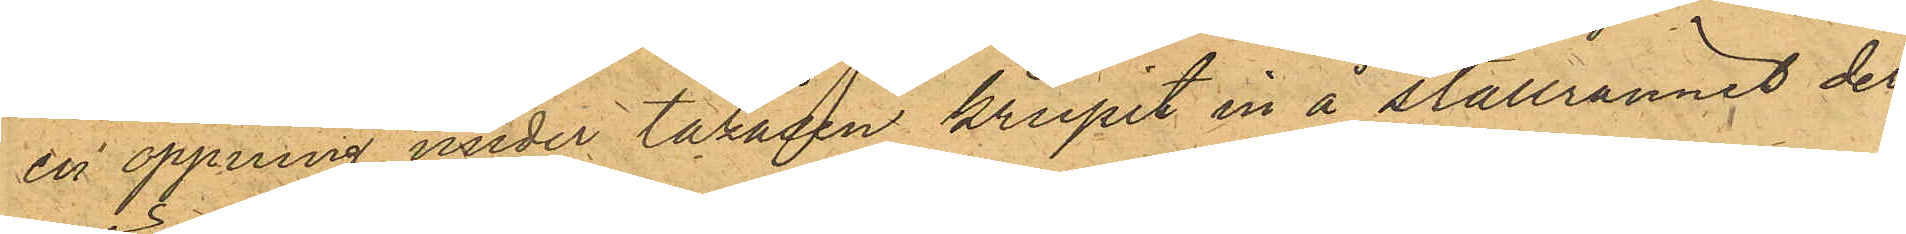en öppning under takåsen krupit in å stallrännet der¬
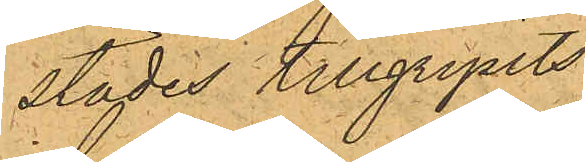städes tillgripits
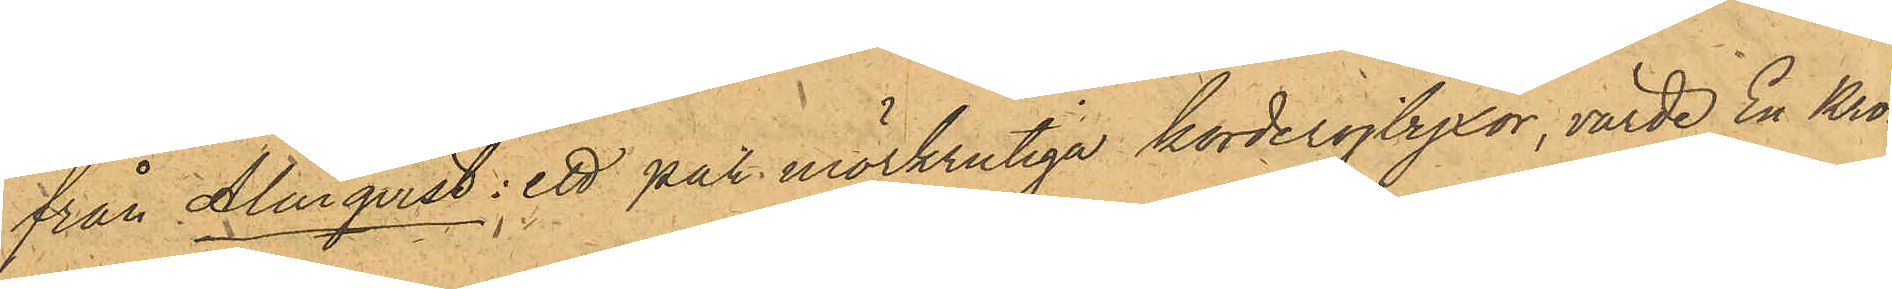från Almqvist: ett par mörkrutiga korderojbyxor, värde En Kro¬
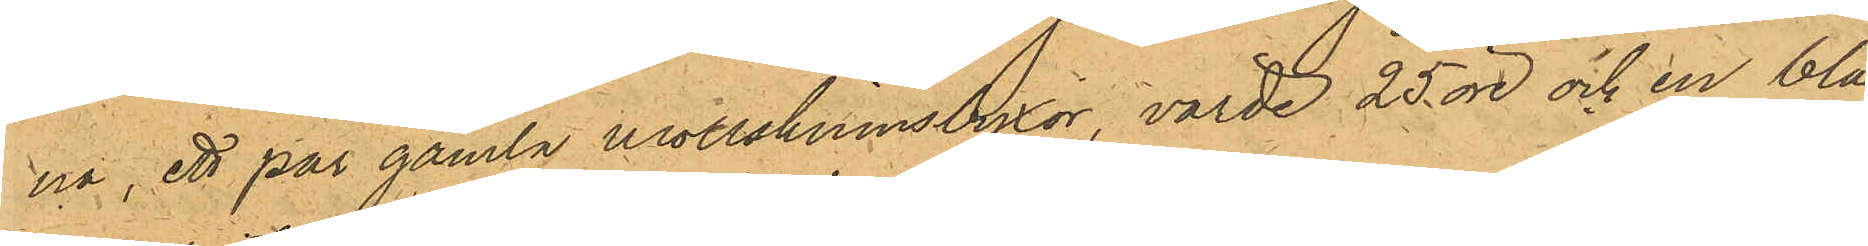na, ett par gamla mollskinnsbyxor, värde 25 öre och en blå
